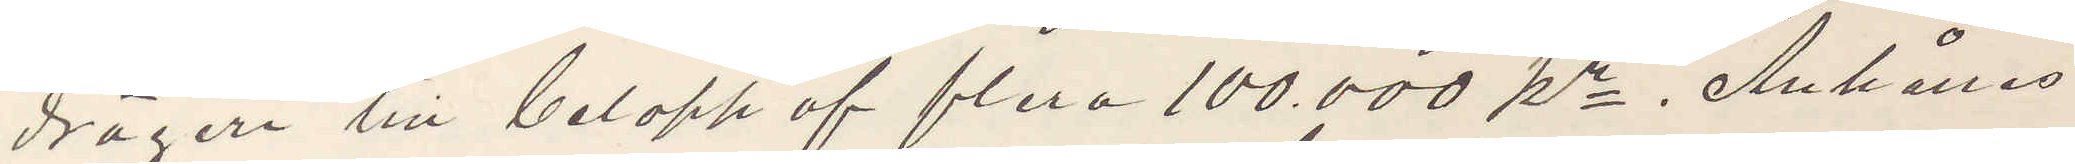drägeri till belopp af flera 100.000 kr Anhålles
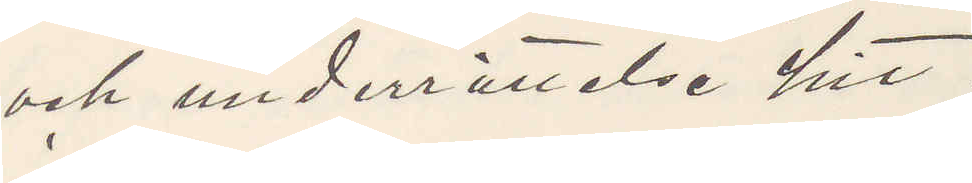och underrättelse hit.
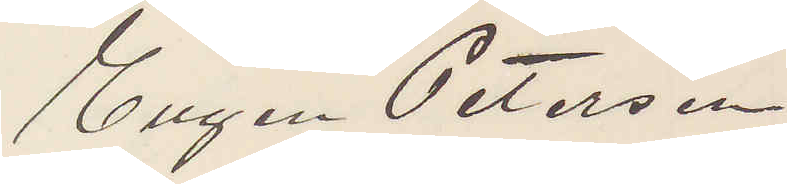Eugen Peterson
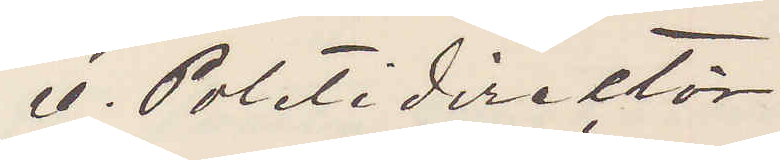E. Politidirektör
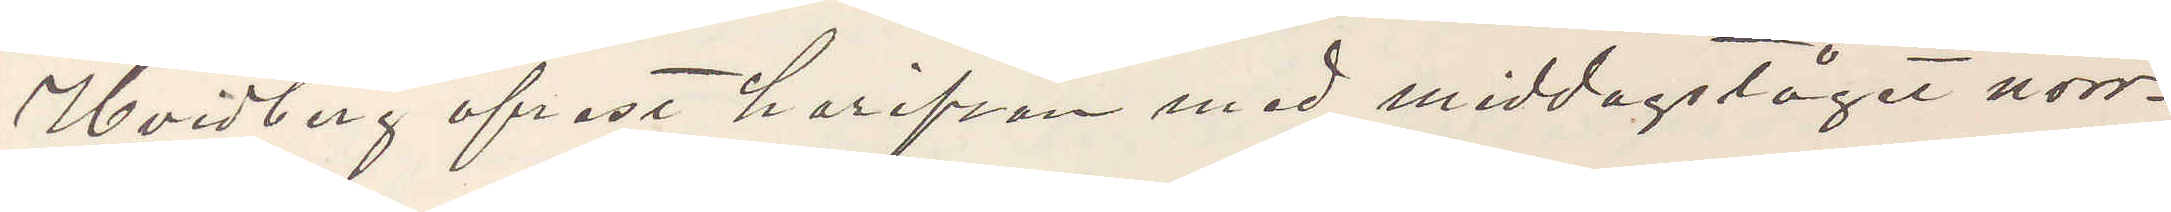Hvidberg afrest härifrån med middagståget norr¬
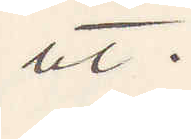ut.
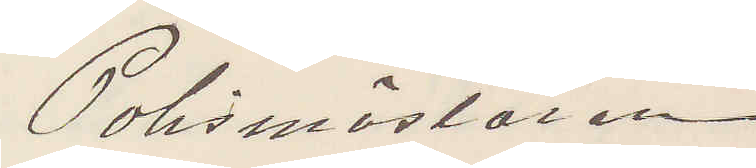Polismästaren.
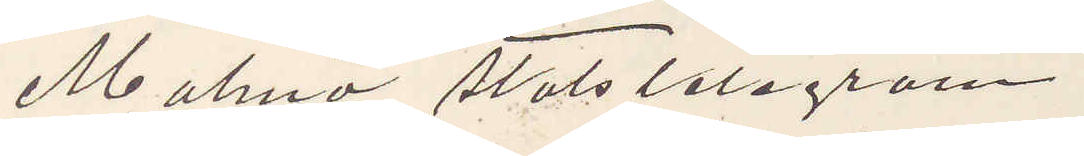Malmö, Statstelegram
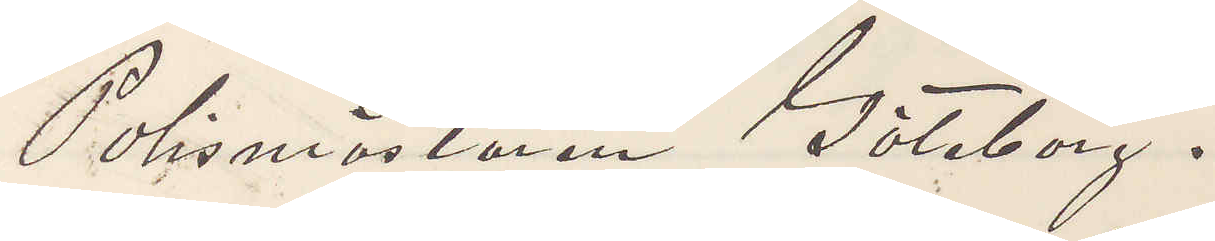Polismästaren Göteborg.
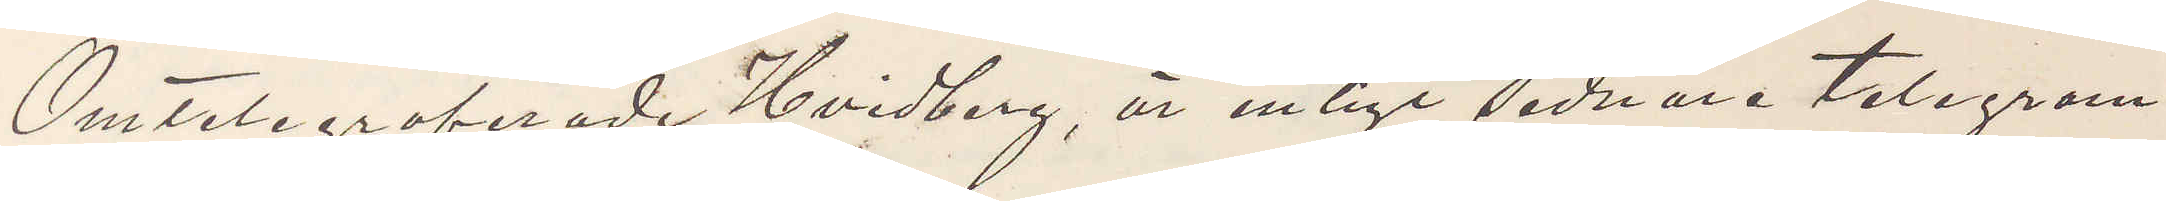Omtelegraferade Hvidberg, är enligt sednare telegram
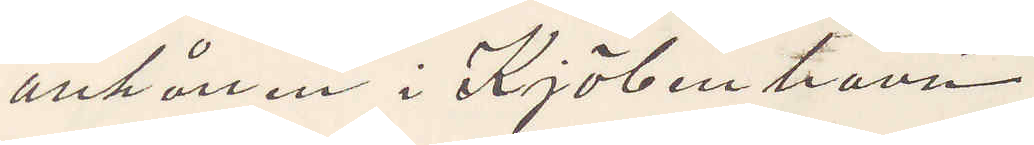anhållen i Kjöbenhamn.
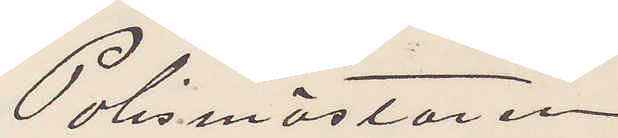Polismästaren
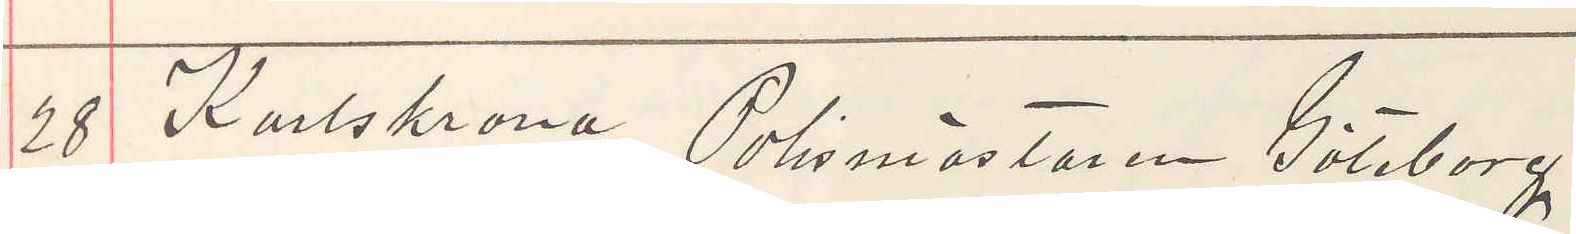28 Karlskrona Polismästaren Göteborg
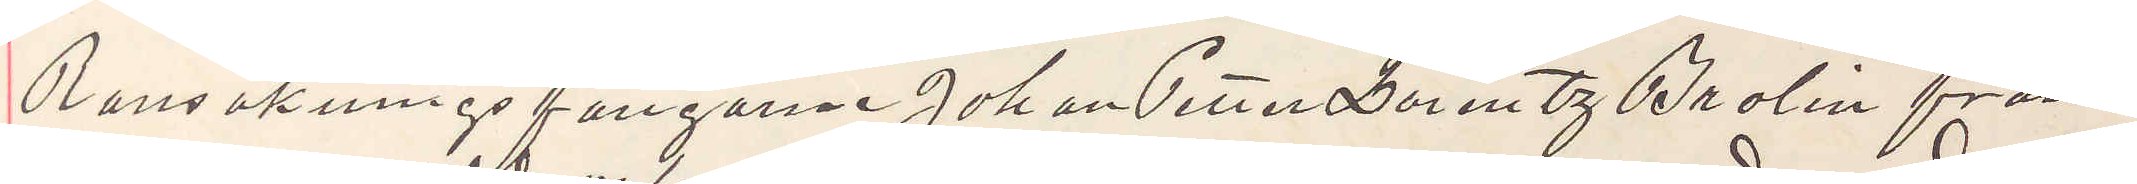Ransakningsfångarne Johan Petter Lorentz Brolin från
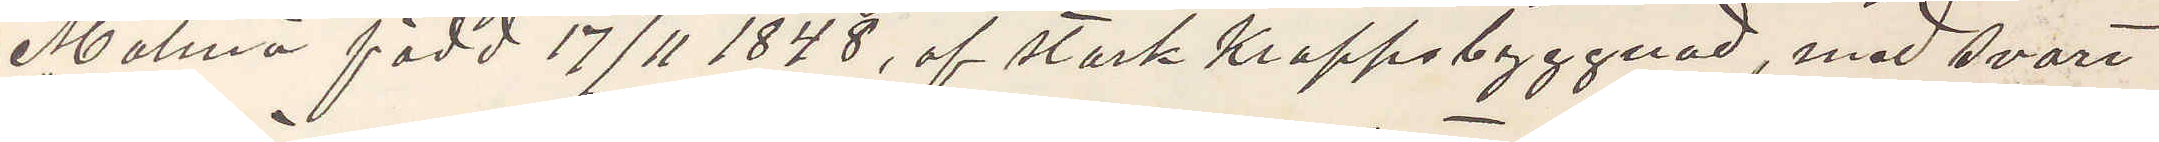Malmö född 17/11 1848, af stark kroppsbyggnad, med svart
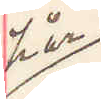hår
